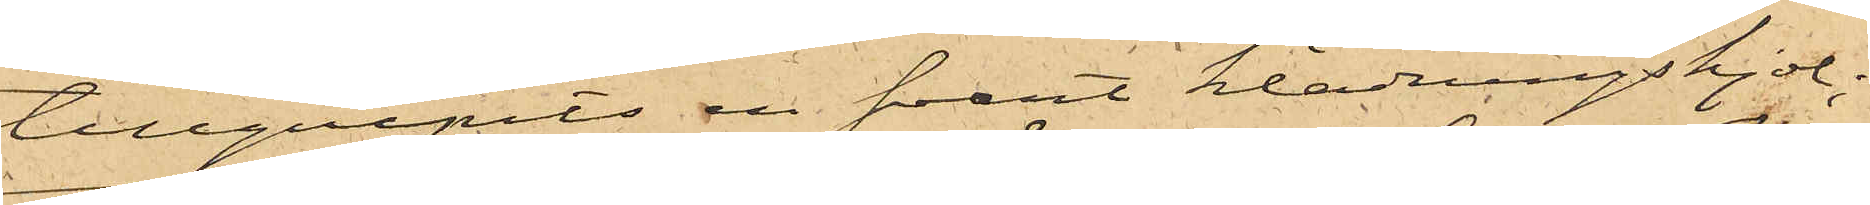tillgripits en svart klädningskjol;
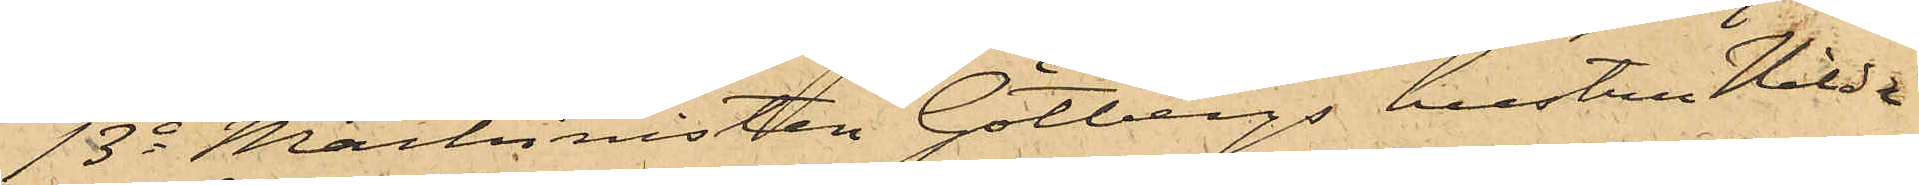13o Machinisten Götbergs hustru Hilda
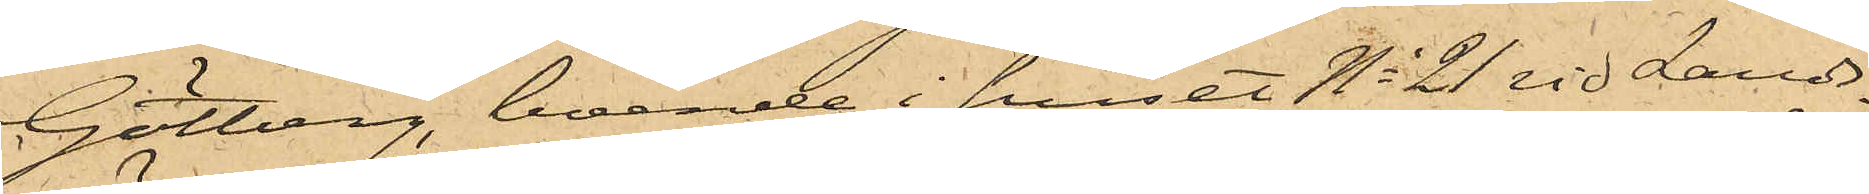Götberg, boende i huset No 21 vid Lands¬
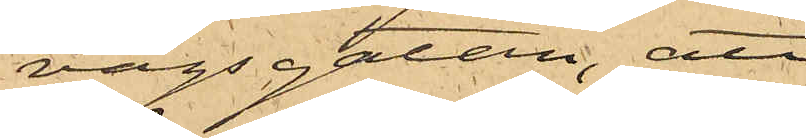vägsgatan, att
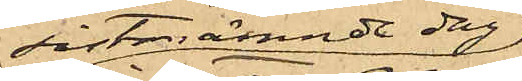sistnämnde dag
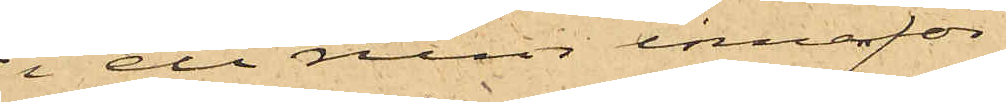i ett rum innanför
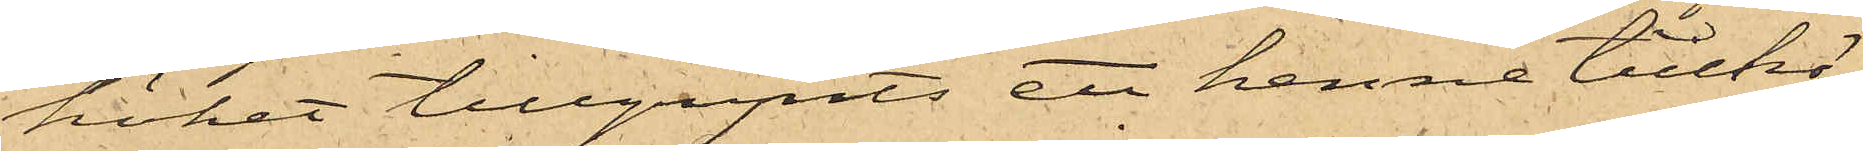köket tillgripits ett henne tillhö¬
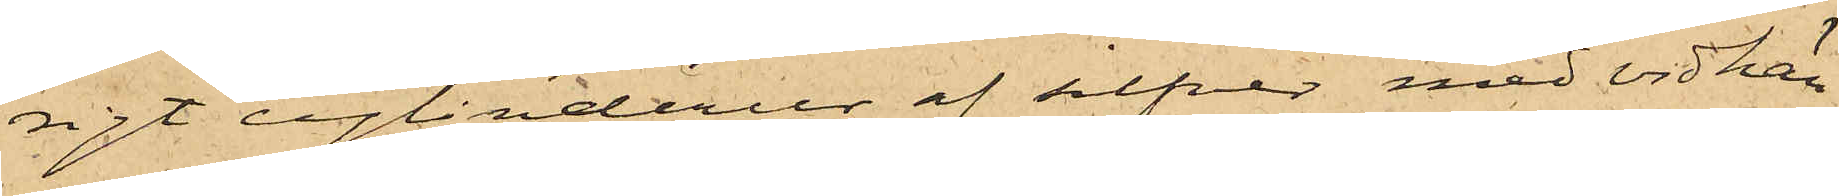rigt cylinderur af silfver med vidhän¬
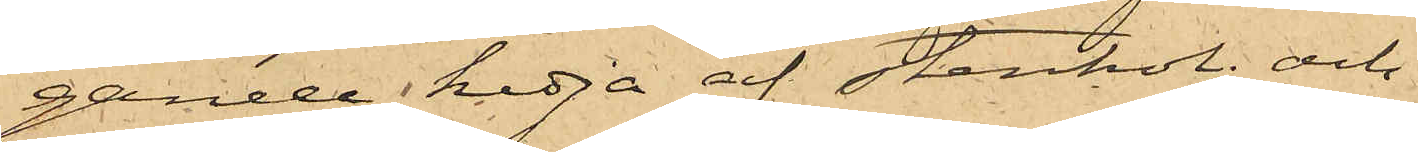gande kedja af stenkol; och
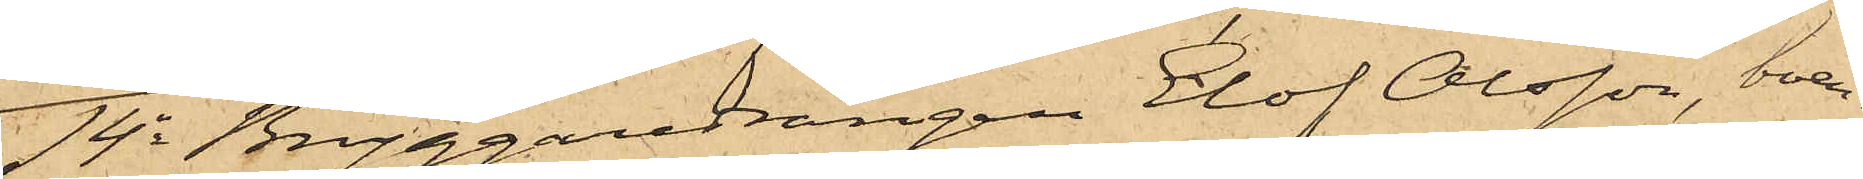14o Bryggaredrängen Elof Olsson, boen¬
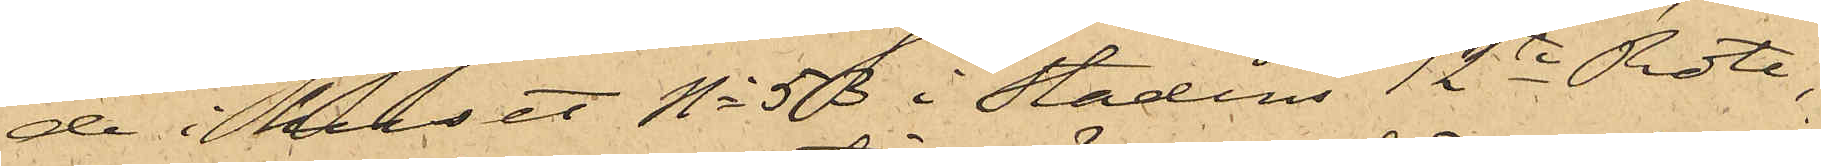de i huset No 53 i Stadens 12te Rote,
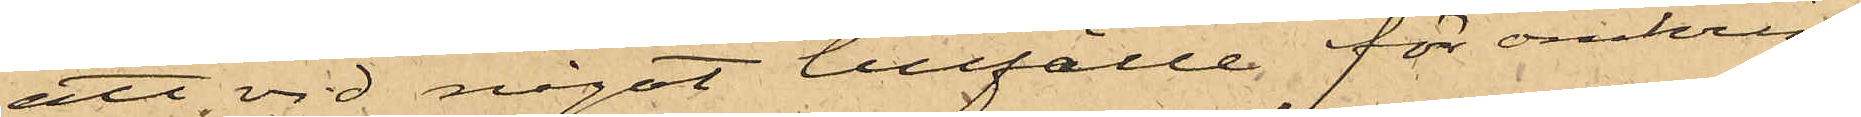att vid något tillfälle för omkring
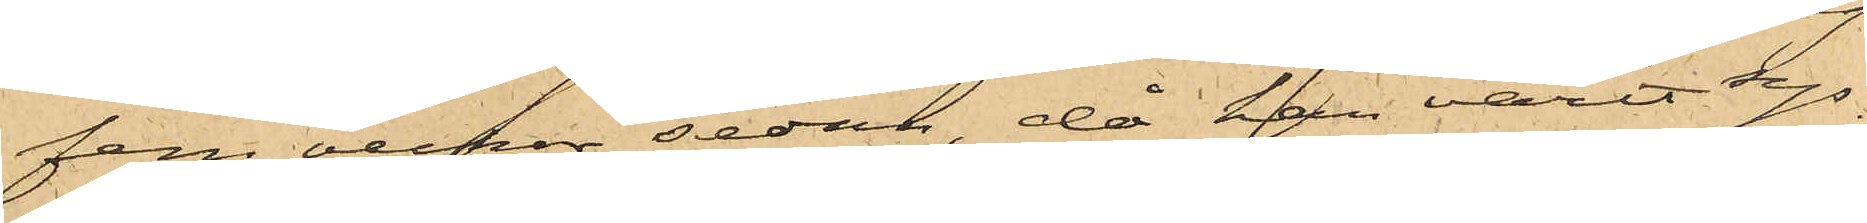fem veckor sedan, då han varit sys¬
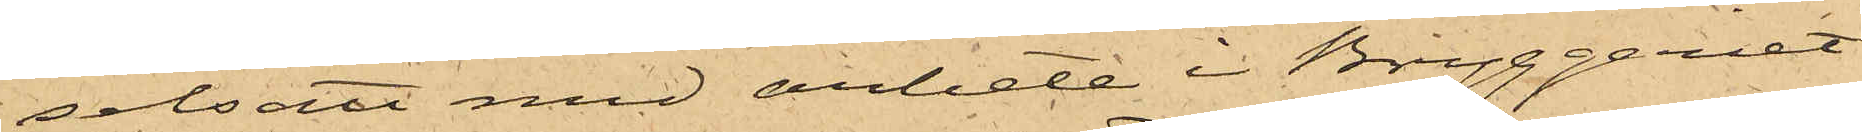selsatt med arbete i Bryggeriet
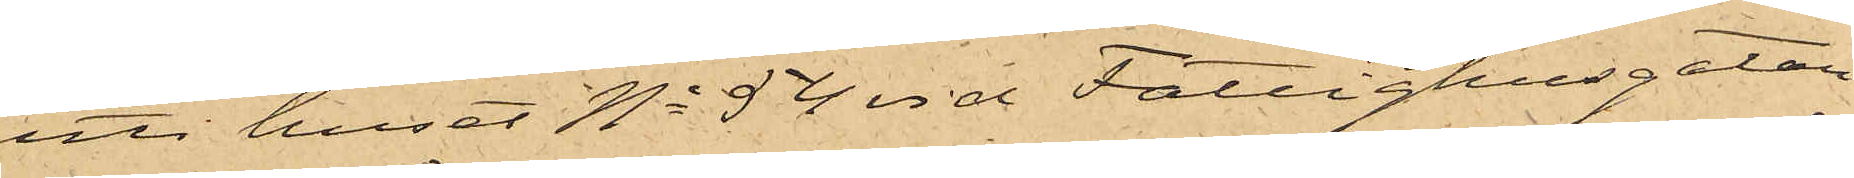uti huset No 54 vid Fattighusgatan
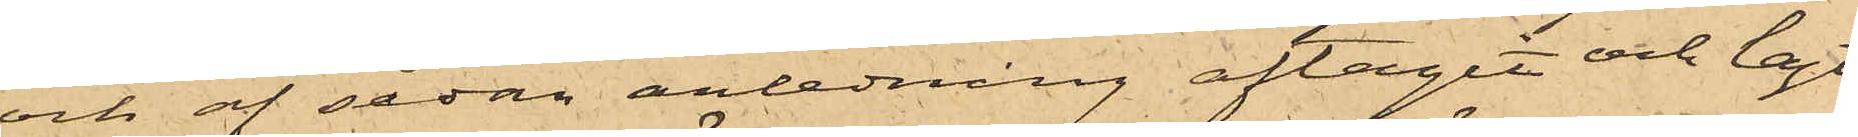och af sådan anledning aftagit och lagt
